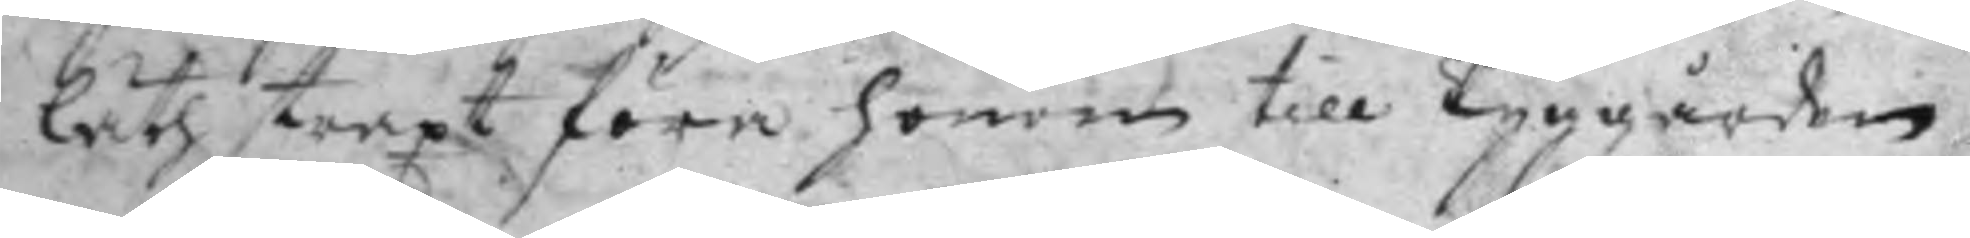läth straxt föra honom till Tyggården
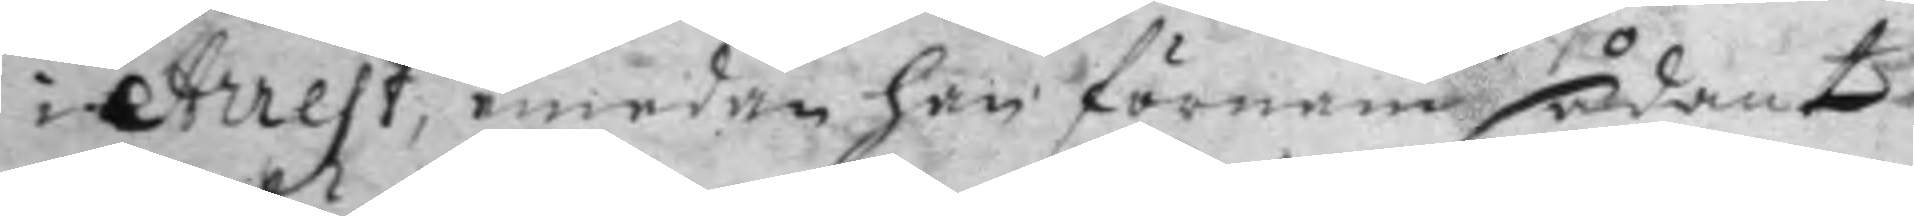i Arrest, emedan han förnamn sådant
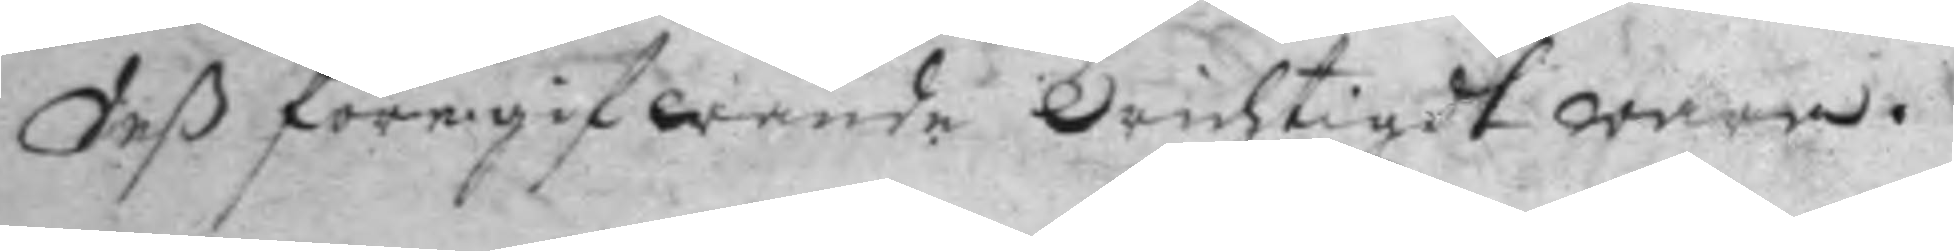deß föregifwande Orichtigdt wara.
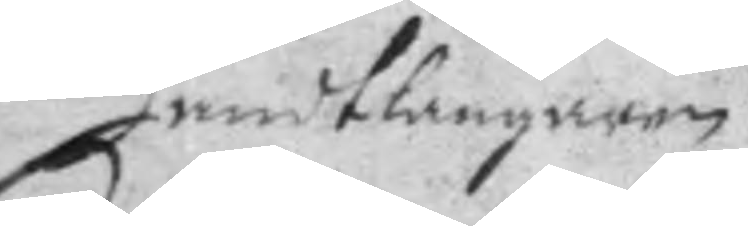Handtlangaren
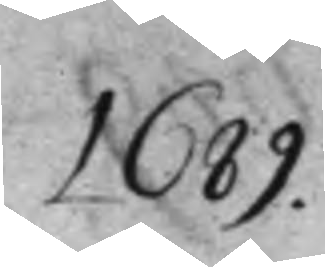1689.
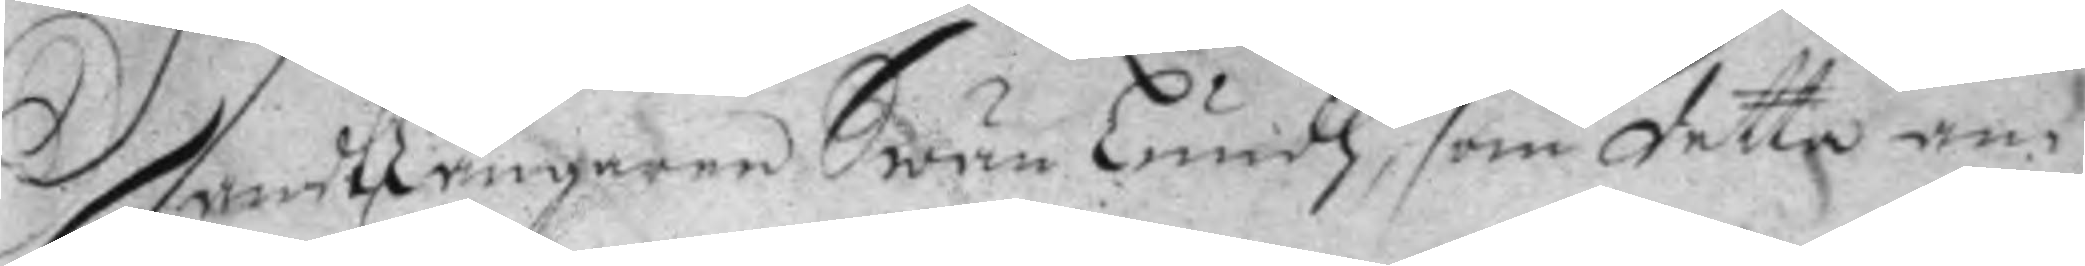Handtlangaren Swän Lundh, som detta an¬
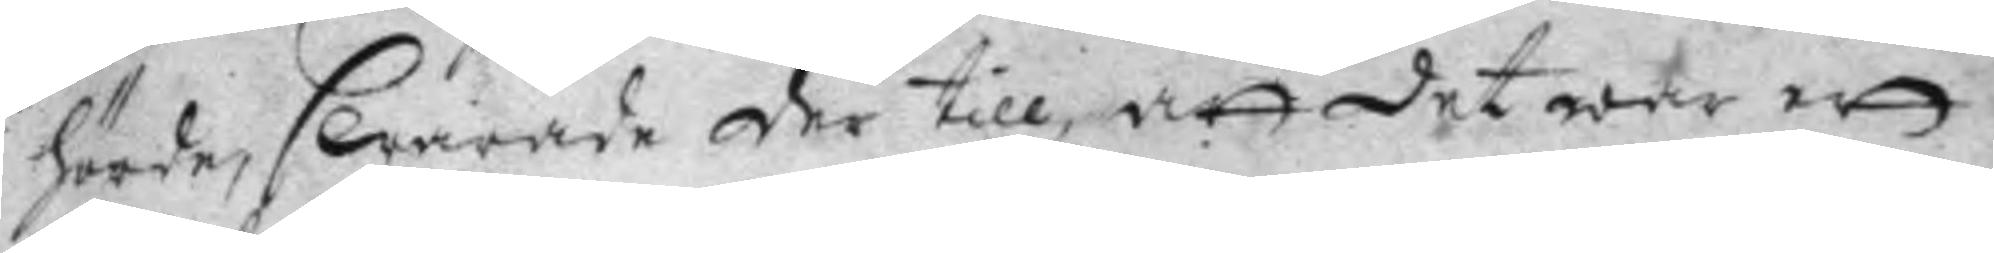hörde, swarade der till att det war ett
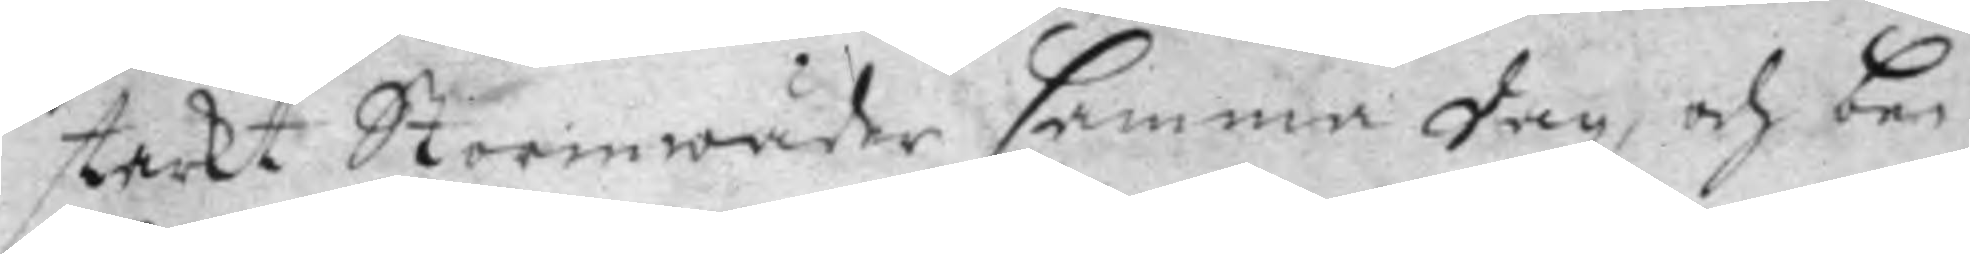starkt Stormwäder samma dag, och be¬
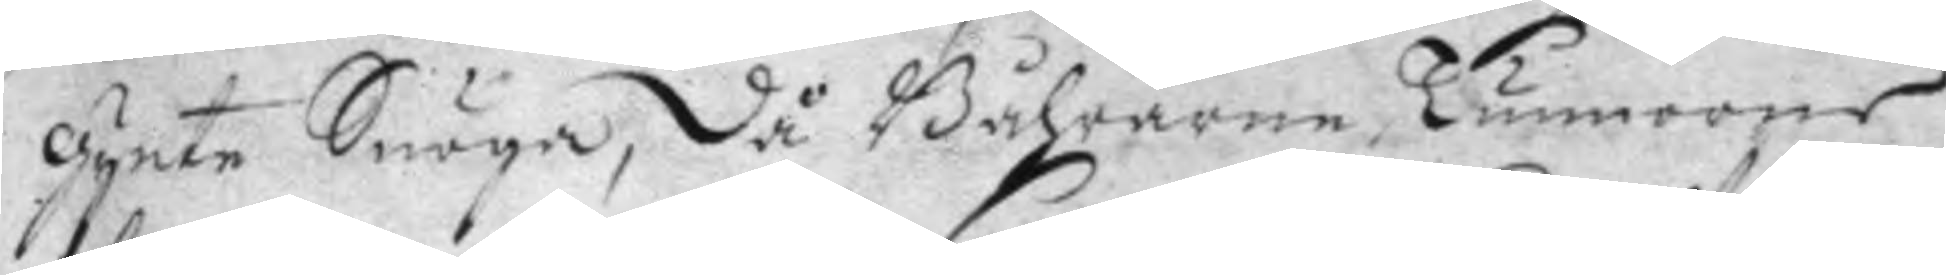gynte Snöga, då Båhrarne, Tunnorne
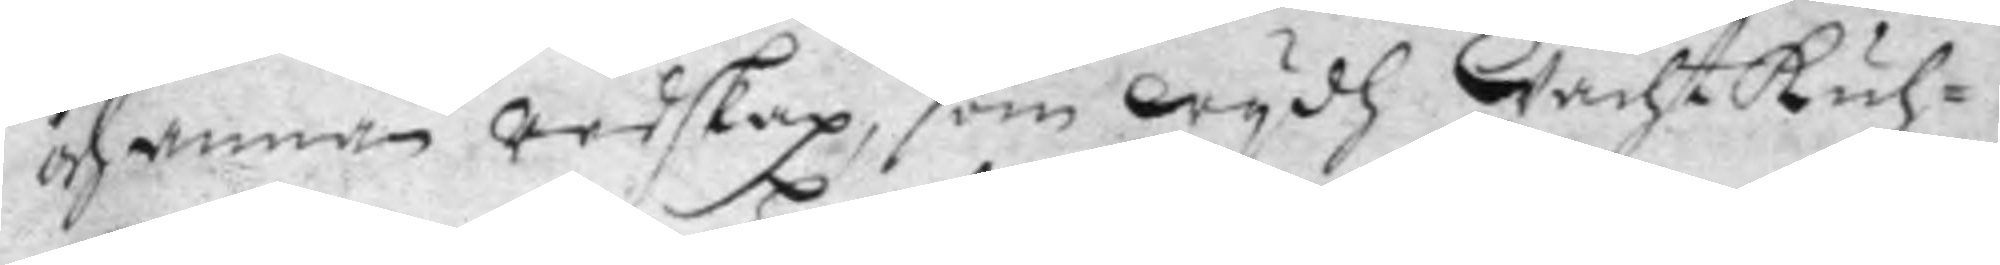och annan redskap, som wydh wachtkuh¬
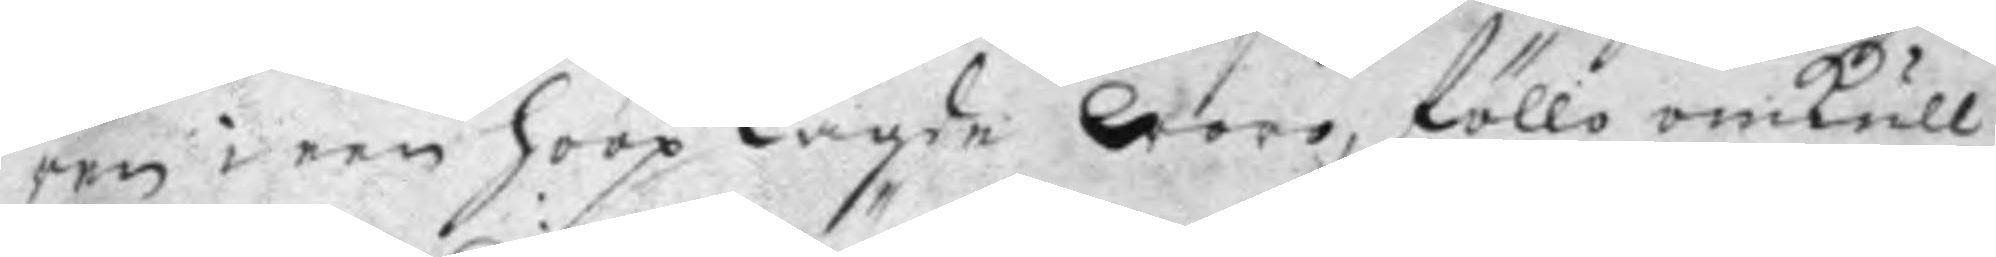ren i een hoop lagde woro, föllo omkull
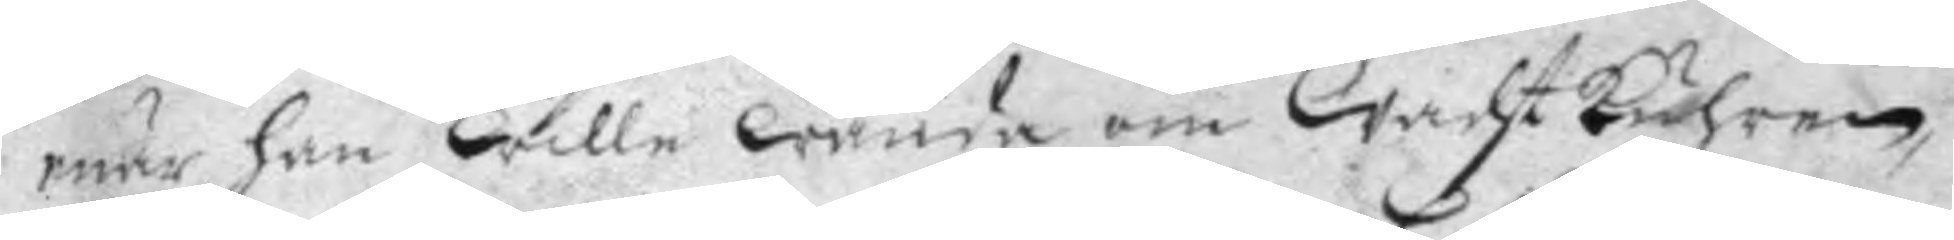enär han wille wända om wachtkuhren,
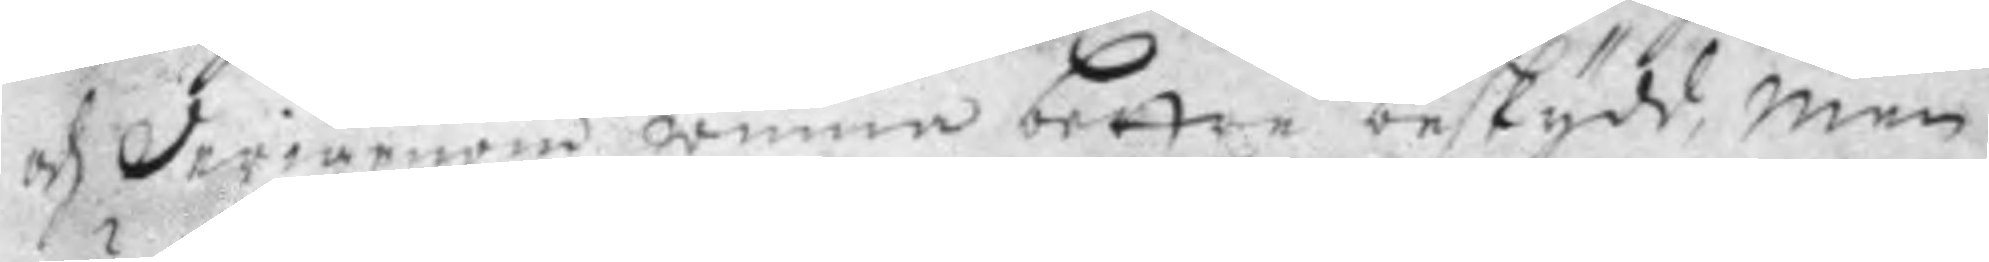och derigenom winna bettre beskydd, men
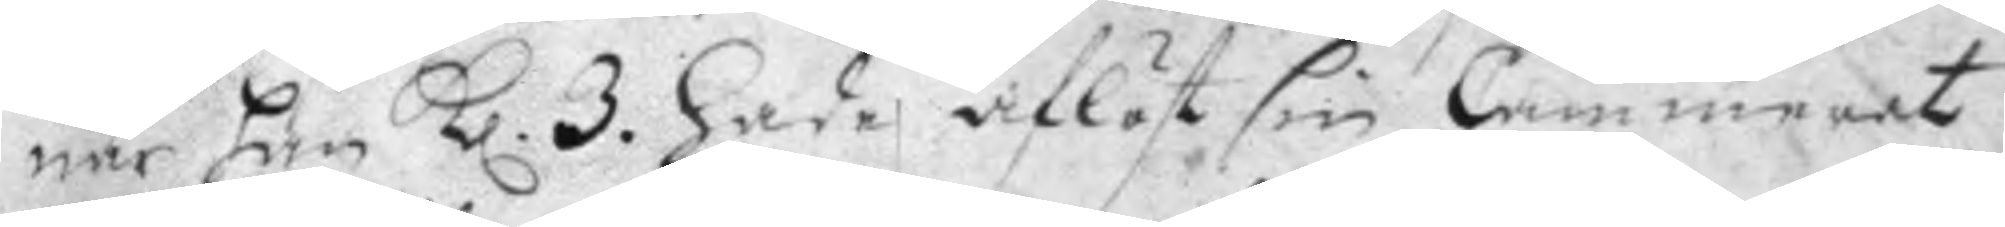när han Kl. 3. hade aflöst sin Cammerat
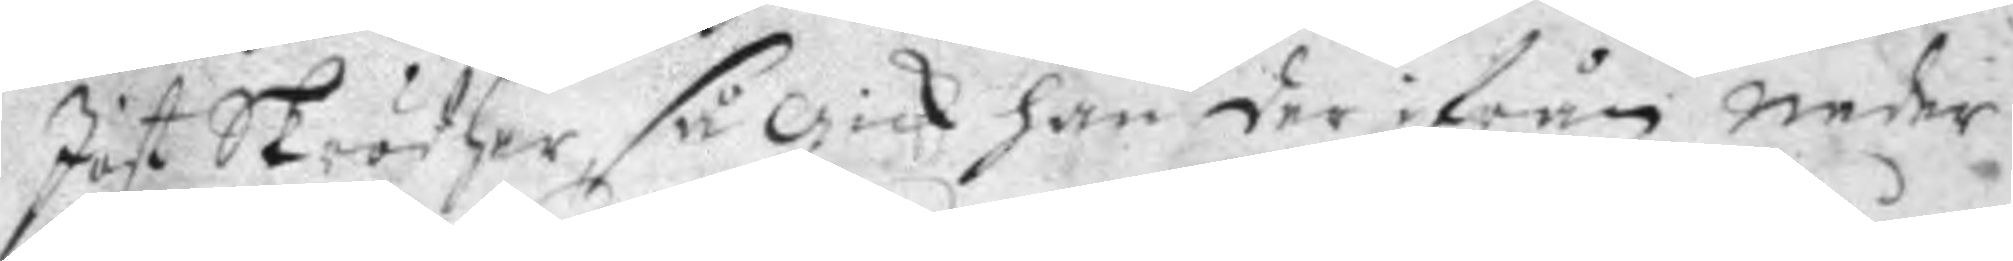Jost Skrödher, så gick han der ifrån neder
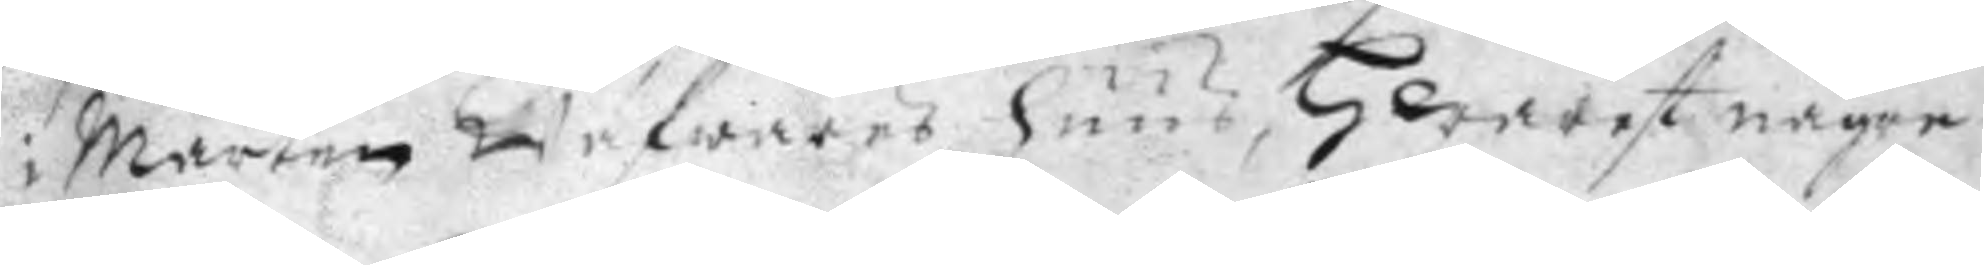i Mårten Wäfwares huus, Hwarest någre
